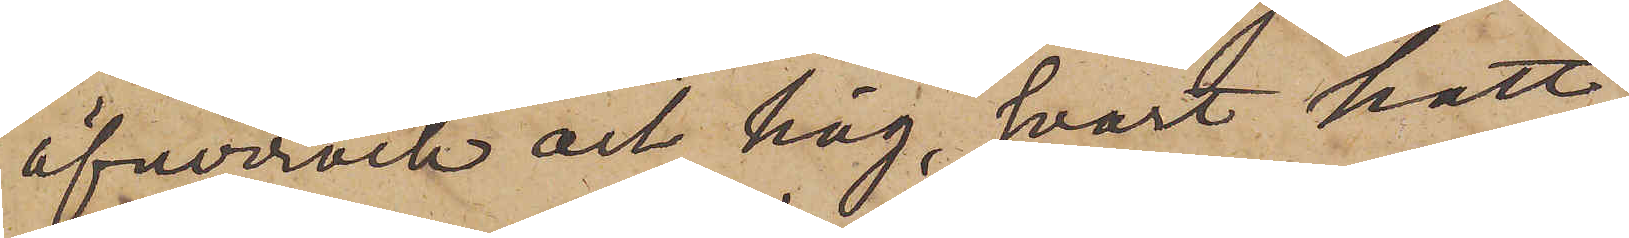öfverrock och hög, svart hatt,
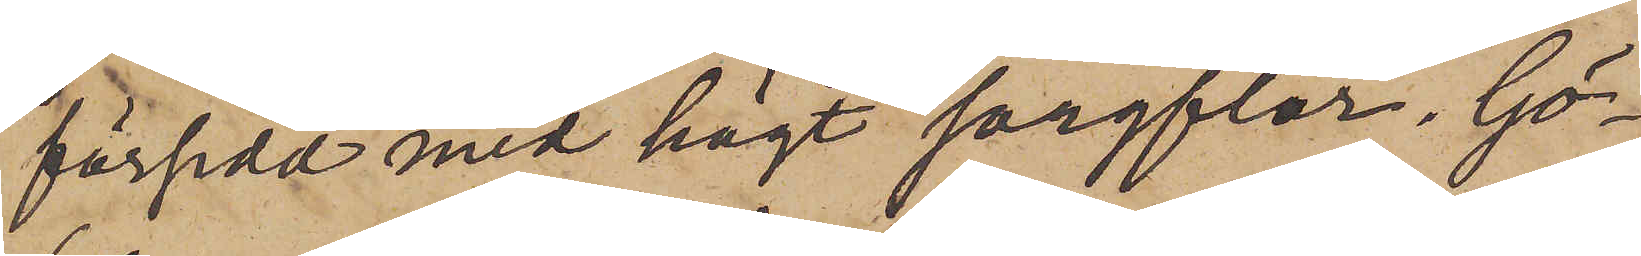försedd med högt färgflor. Gö¬
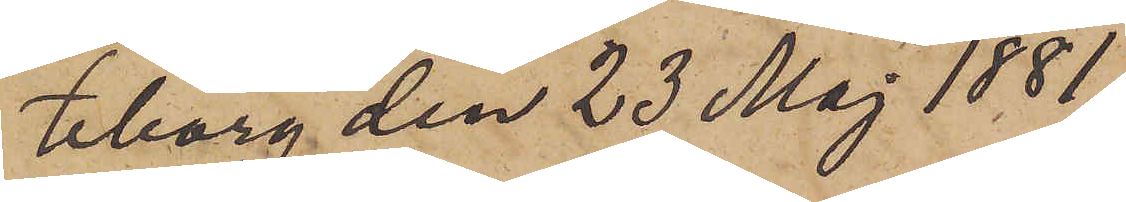teborg den 23 Maj 1881.
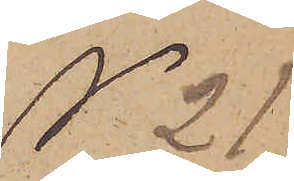N 21.
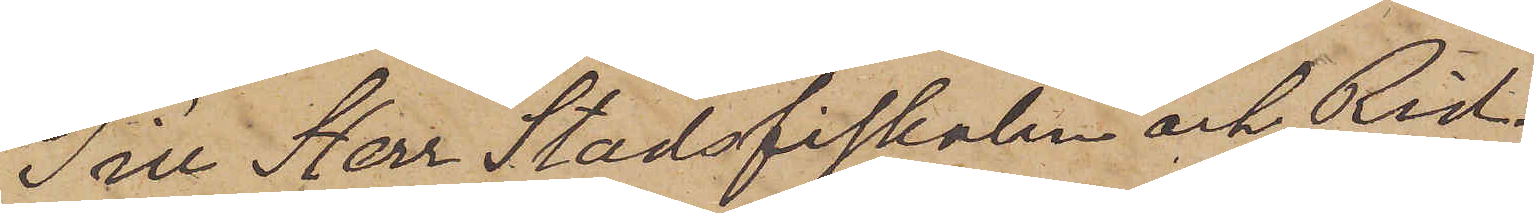Till Herr Stadsfiskalen och Rid¬
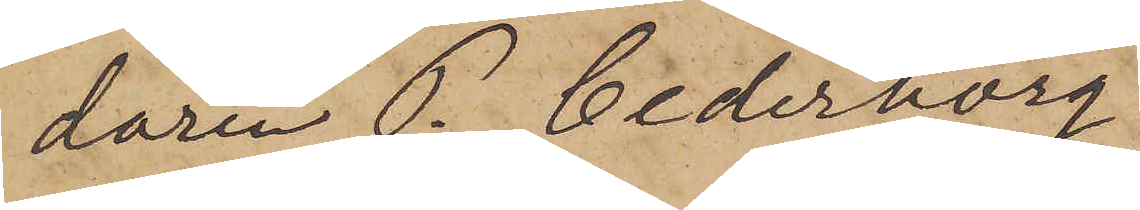daren P. Cederborg.
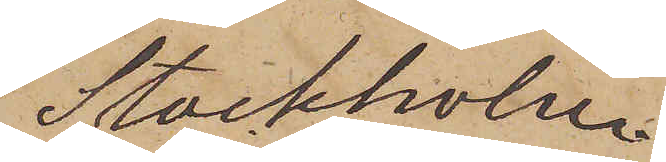Stockholm
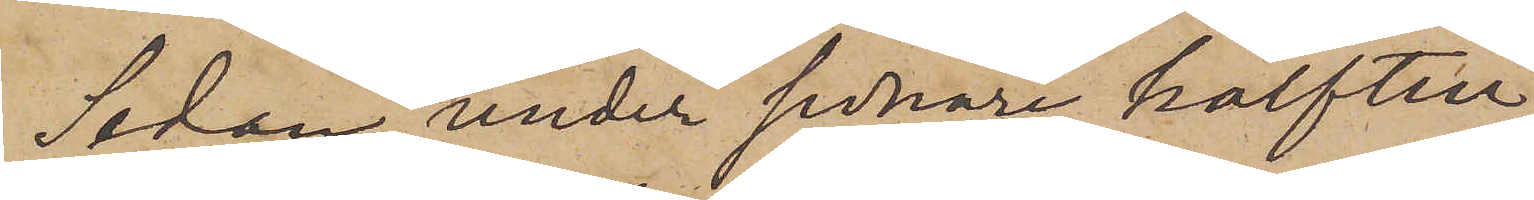Sedan under sednare hälften
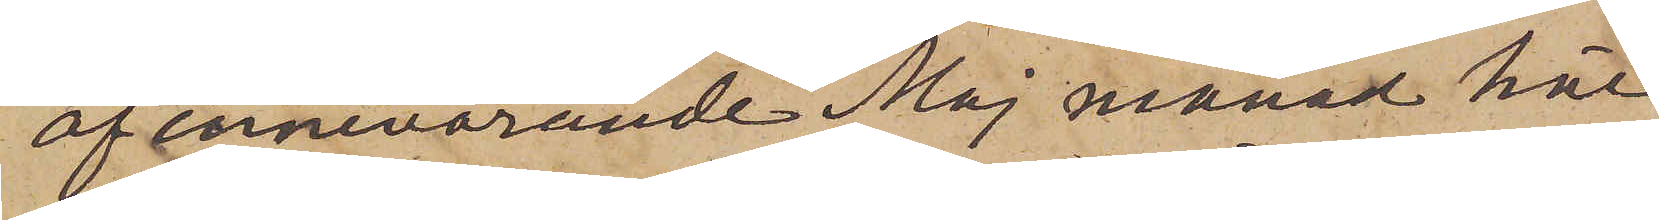af innevarande Maj månad här
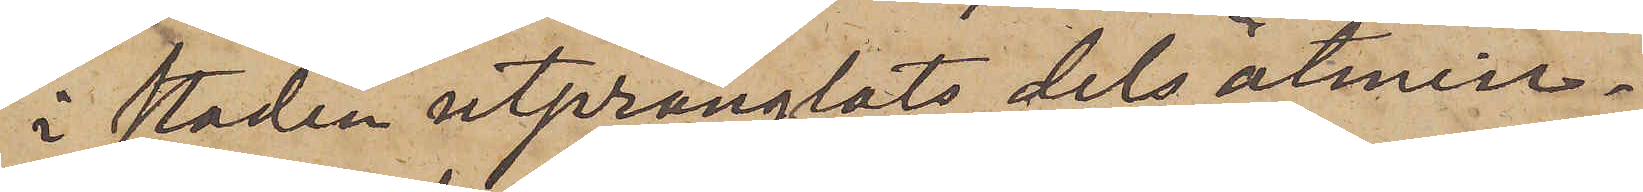i staden utprånglats dels åtmin¬
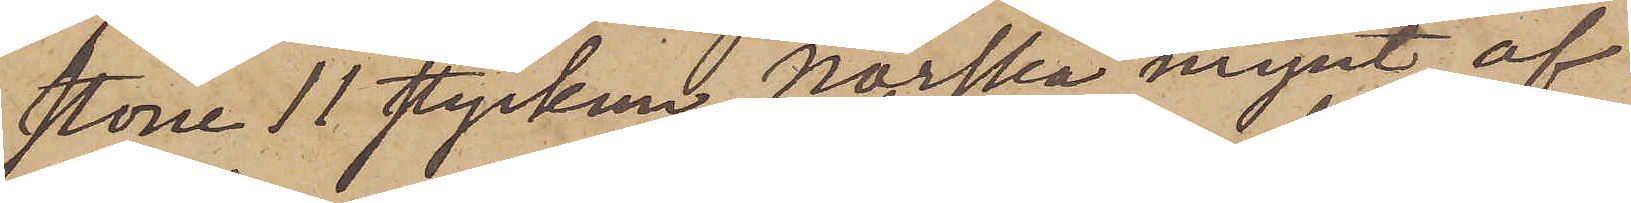stone 11 stycken Norska mynt af
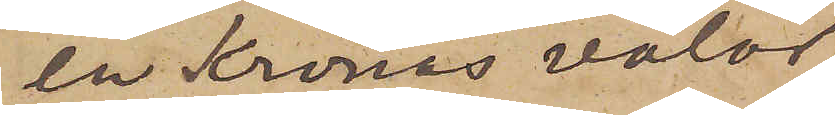en Kronas valör
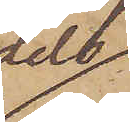dels
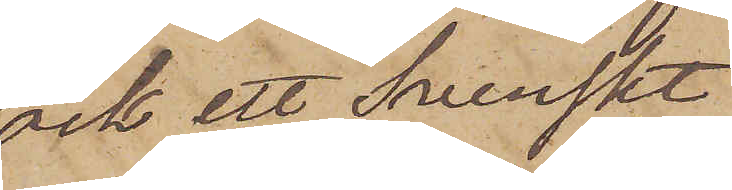ock ett Svenskt
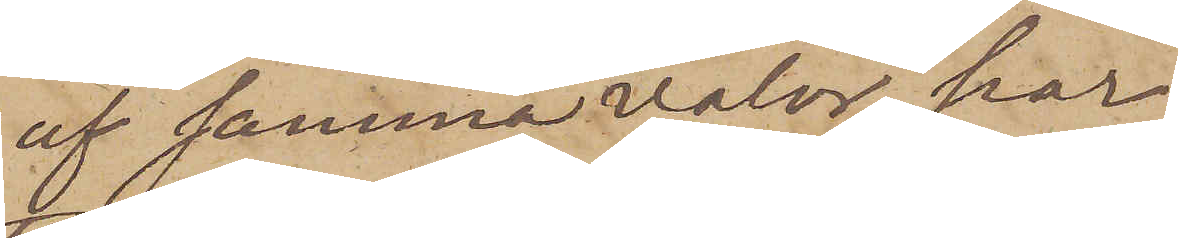af samma valör, har
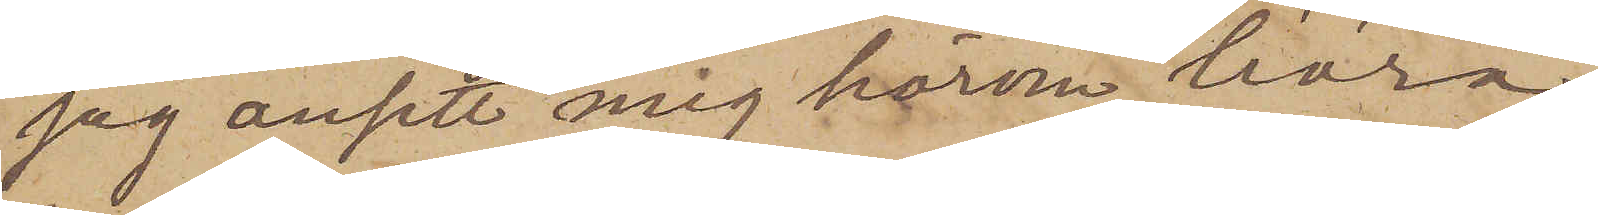jag ansett mig härom böra
